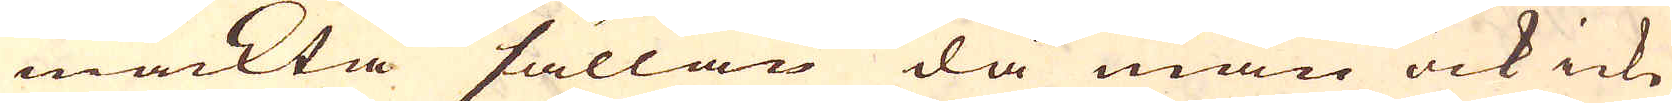mäckta sällan då man ock icke
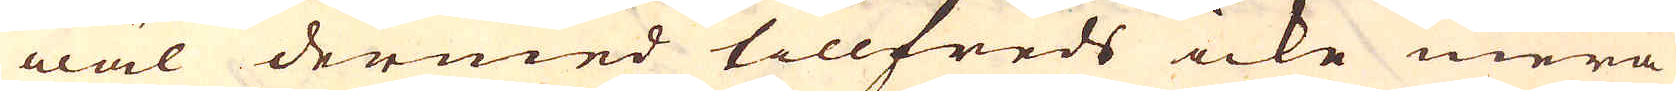wäl dermed tillfreds icke mera
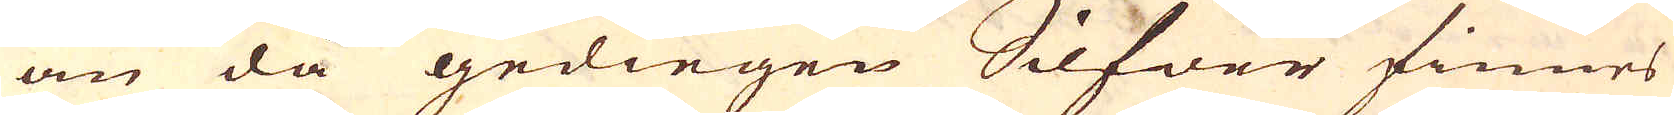än då gediegen Silfwer finnes
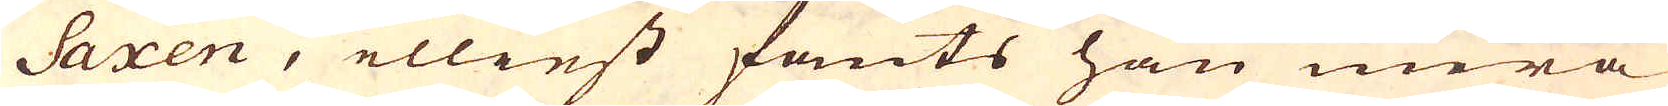Saxen, elliest fants han mera
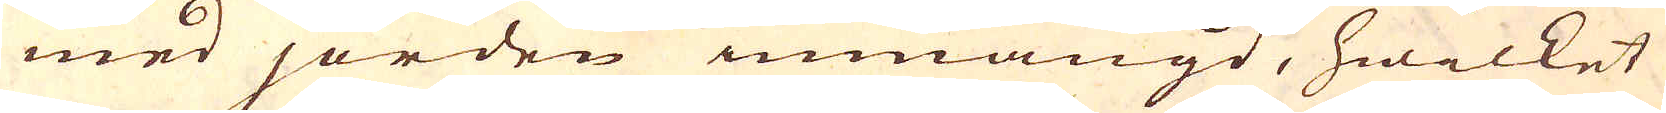med jorden inmängd, hwilket
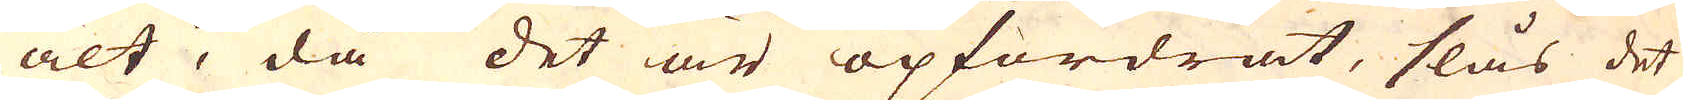alt, då det är opfordrat, slås det
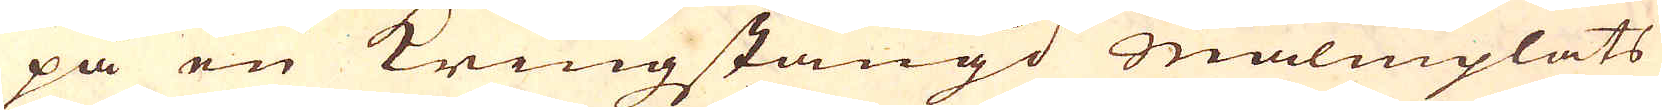på en Kringstängd Malmplats
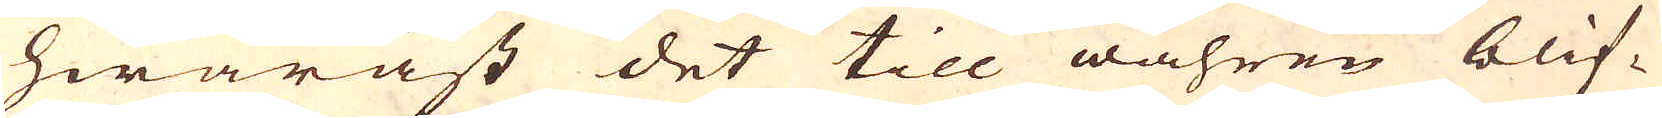hwaräst det till wåhren blif-
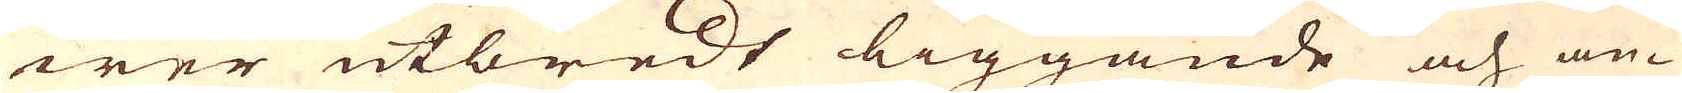wer utbredt liggande och an-
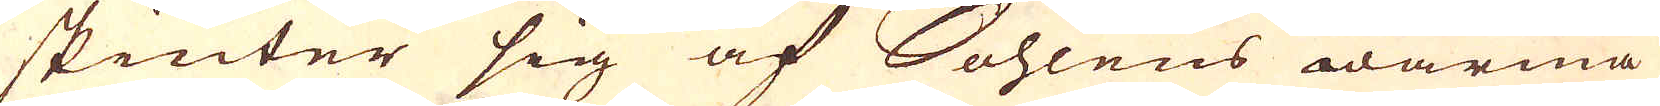skiuter sig af Sohlens wärma
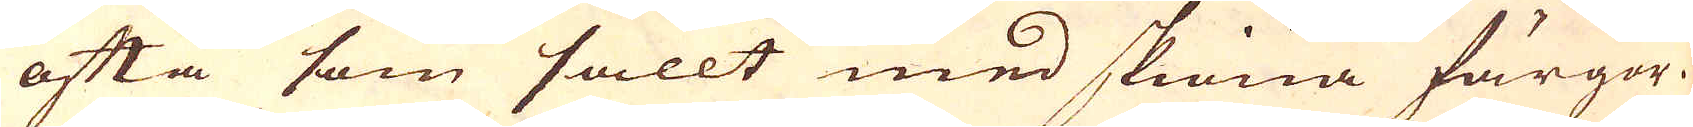ofta som sallt med skiöna färgor.
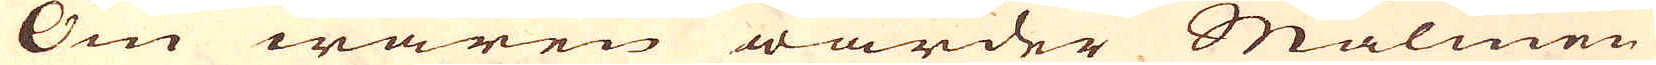Om wåren warder Malmen
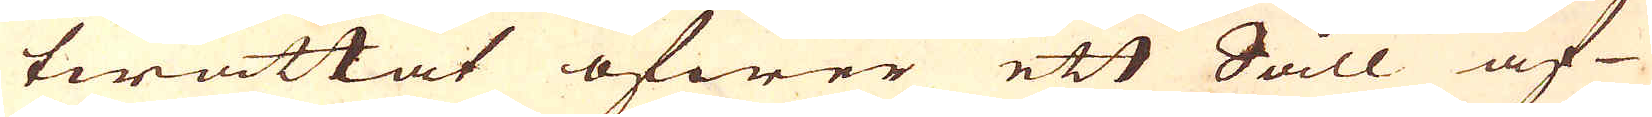twättat öfwer ett Såll af
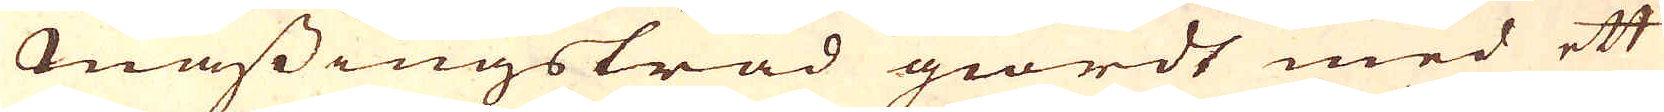mässingstråd giordt med ett
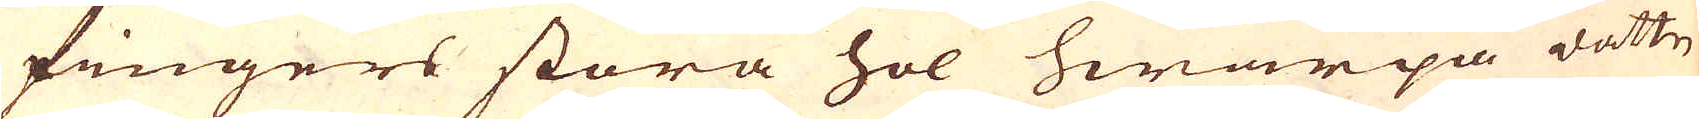fingers stora hol hwarpå wattn
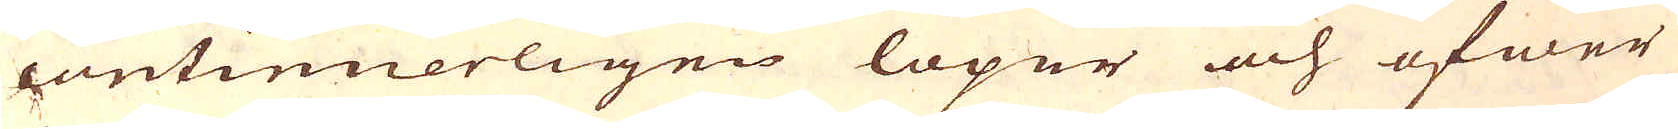continuerligen löper och öfwer
